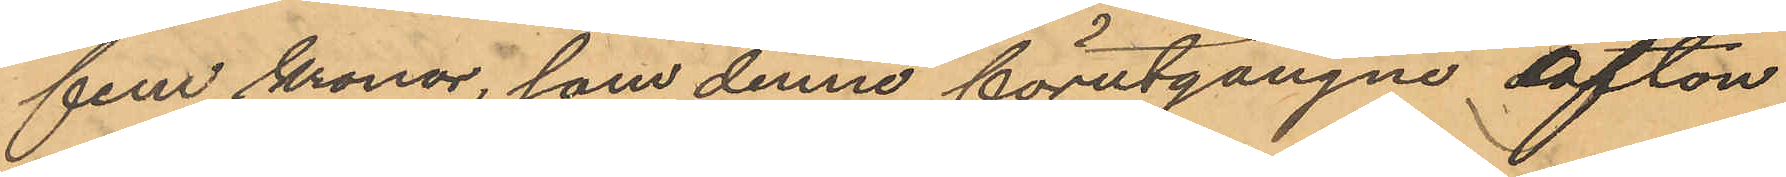fem kronor, som denne förutgångne afton
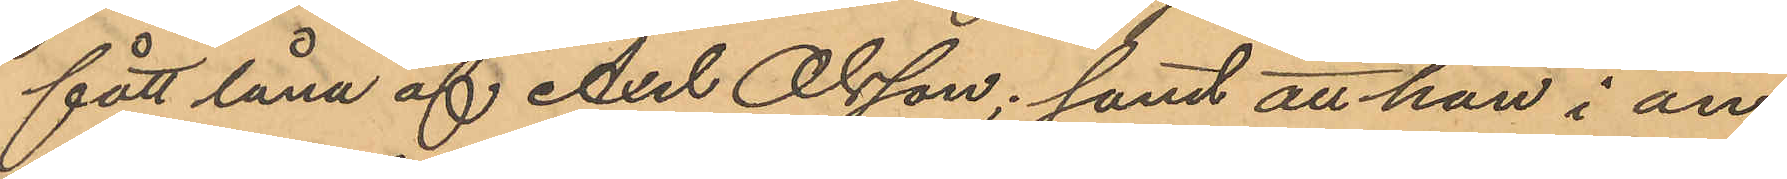fått låna af Axel Olsson; samt att han i an¬
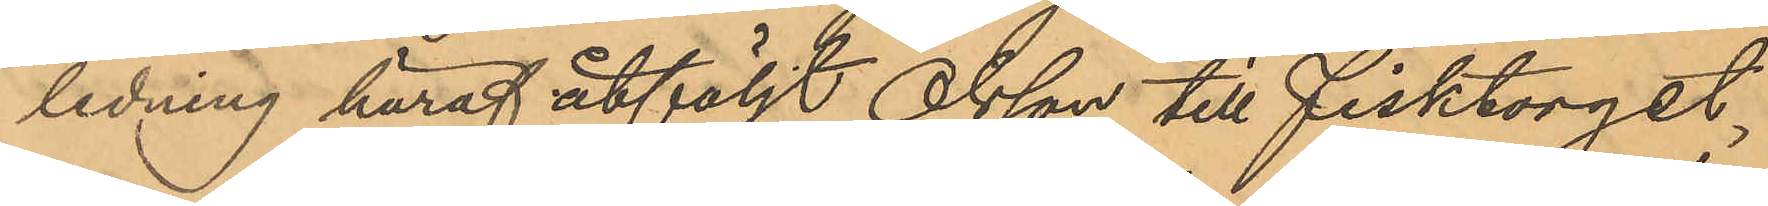ledning häraf åtföljt Olsson till Fisktorget,
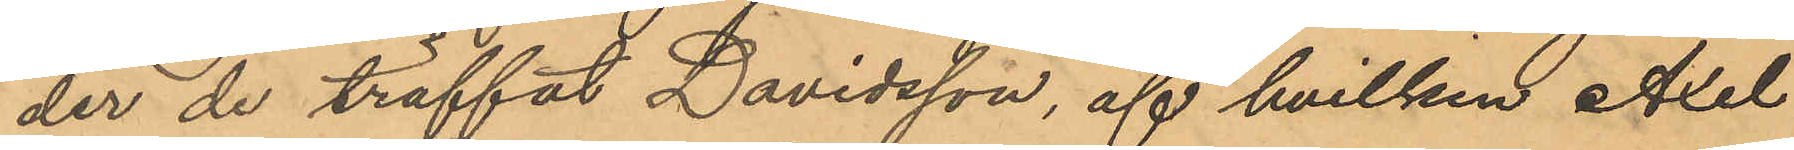der de träffat Davidsson, af hvilken Axel
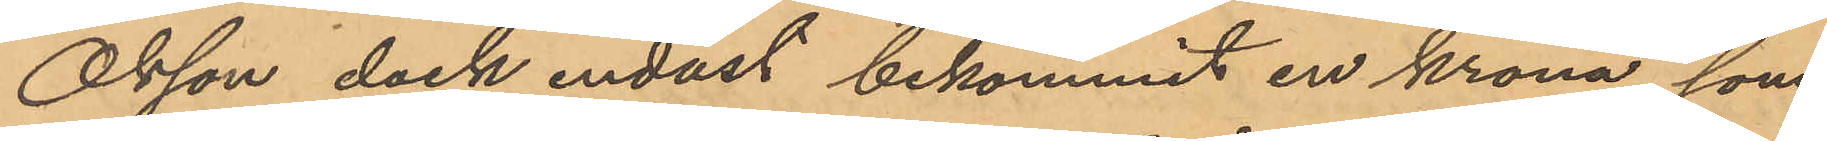Olsson dock endast bekommit en krona, som
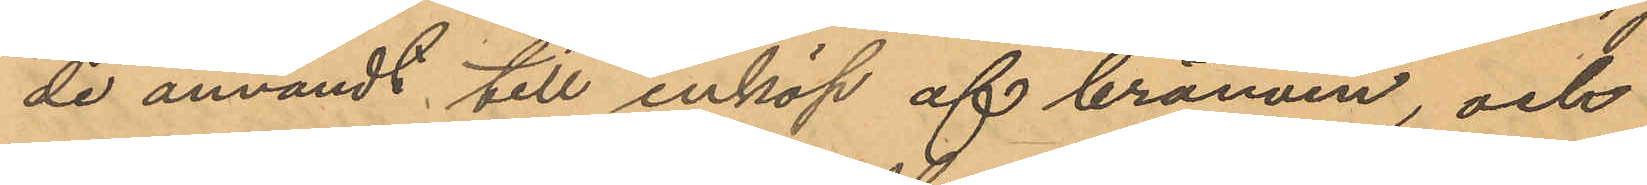de användt till inköp af bränvin, och
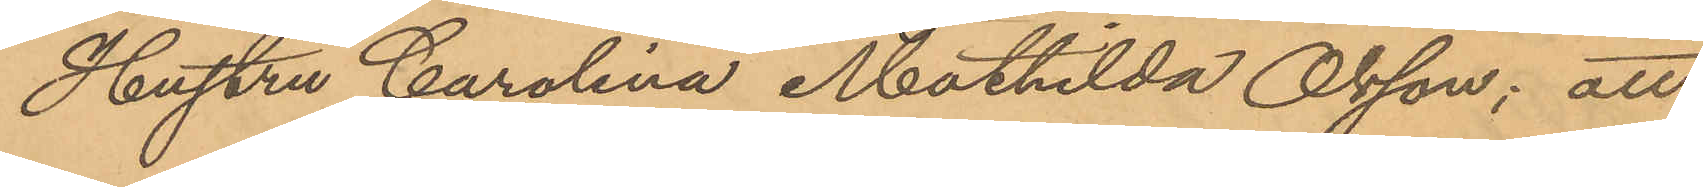Hustru Carolina Mathilda Olsson: att
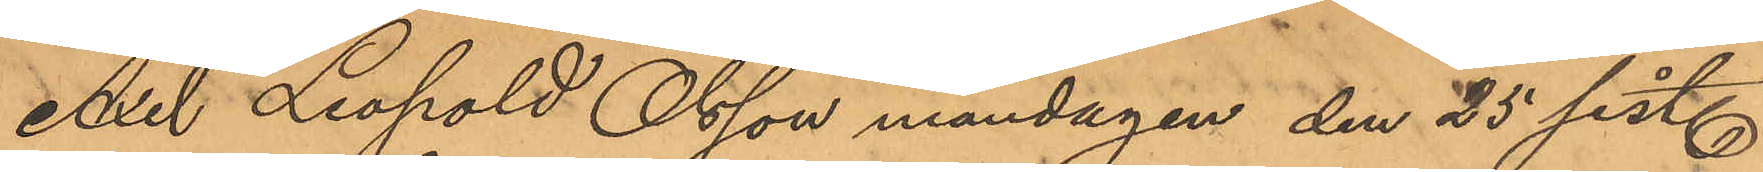Axel Leopold Olsson måndagen den 25 sist.
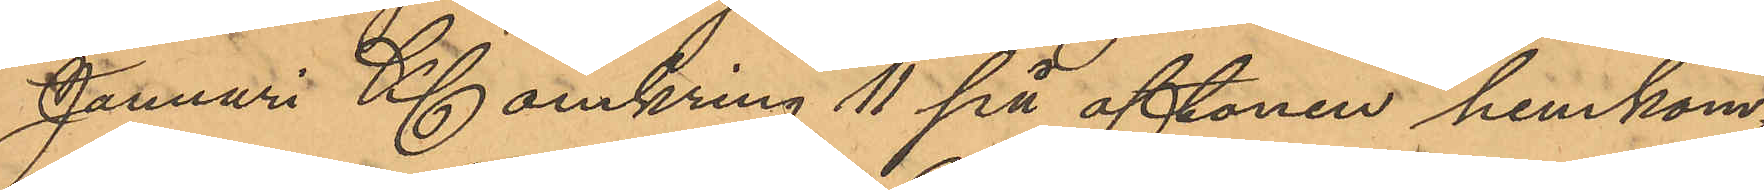Januari Kl omkring 11 på aftonen hemkom¬
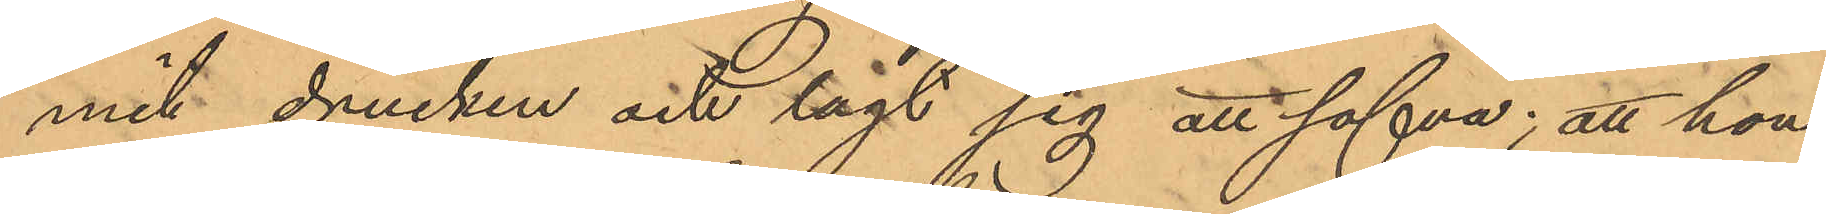mit drucken och lagt sig att sofva; att han
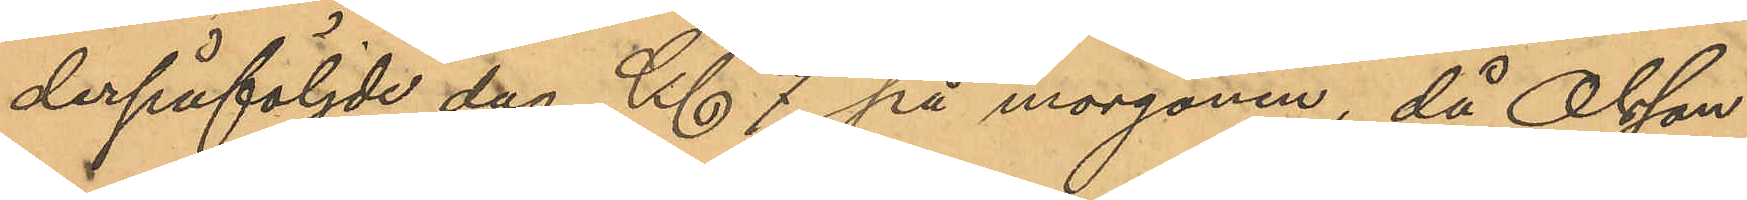derpåföljde dag Kl 7 på morgonen, då Olsson
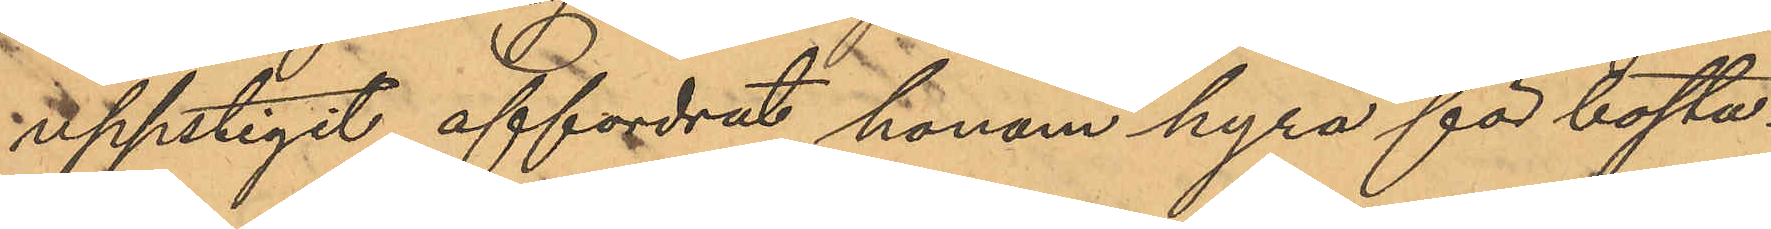uppstigit affordrat honom hyra för bosta¬
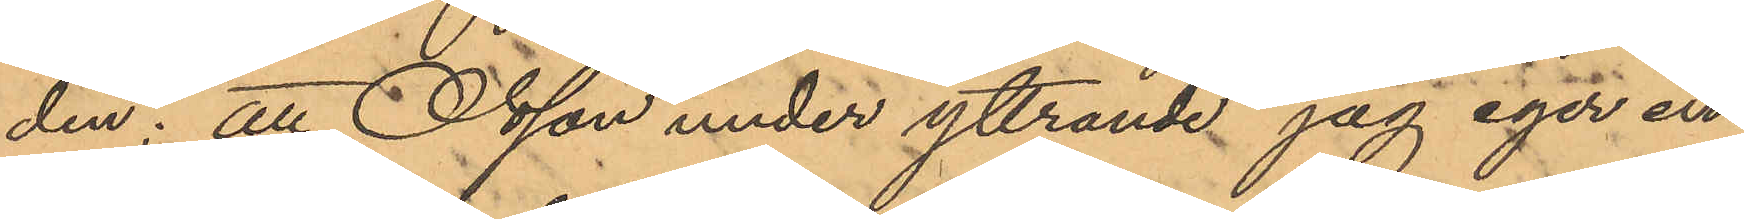den; att Olsson under yttrande "jag eger en¬
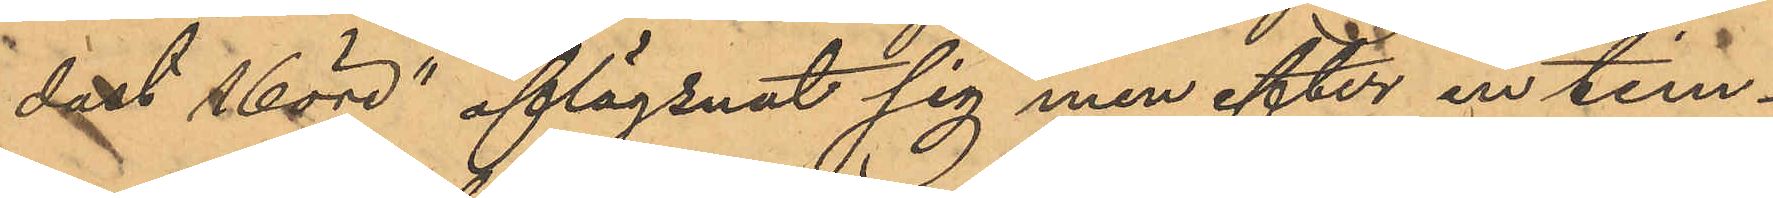dast 16 öre" aflägsnat sig men efter en tim¬
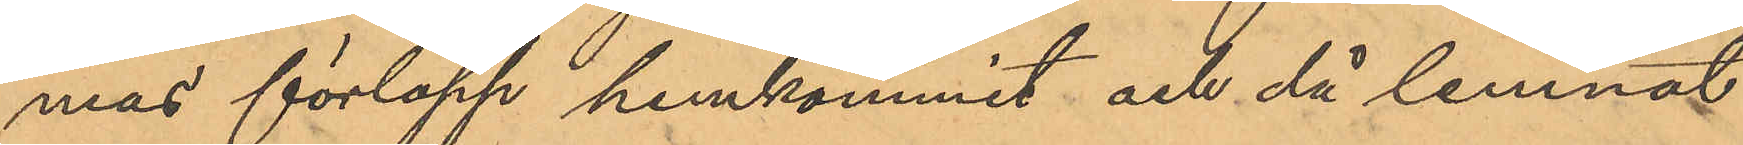mas förlopp hemkommit och då lemnat
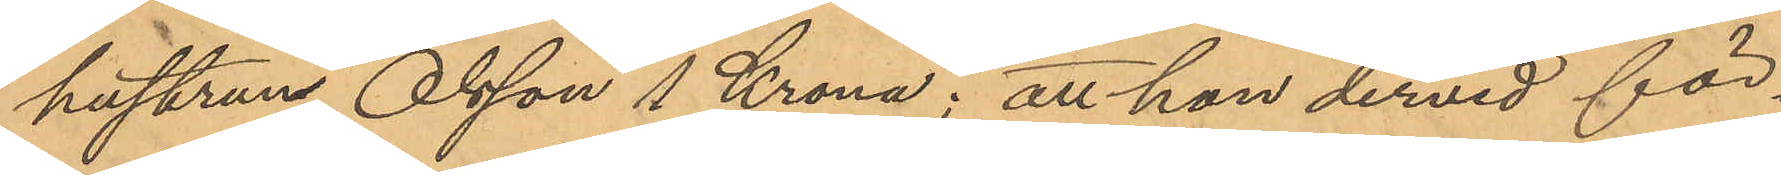hustrun Olsson 1 Krona; att han dervid för¬
